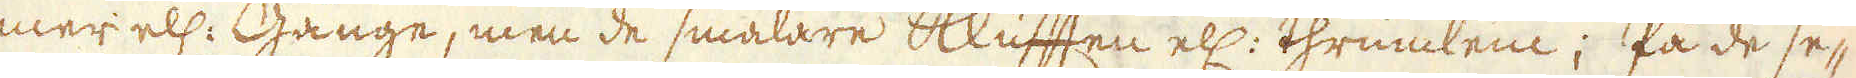mer ell: Gänge, men de smalare Klyfften ell: thrumlein; På de se-
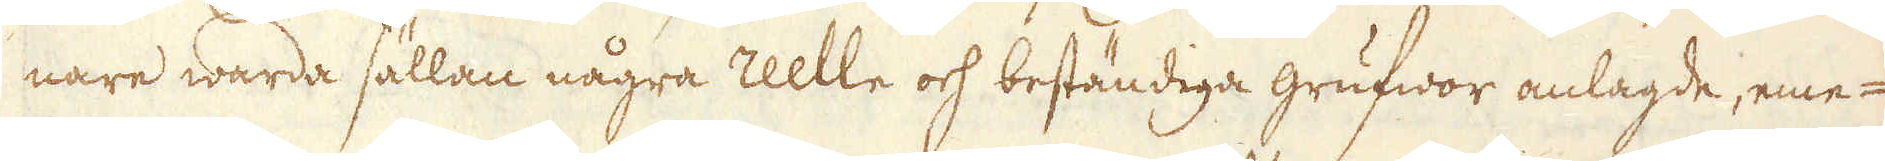nare warda sällan några reelle och beständiga grufwor anlagde, eme-
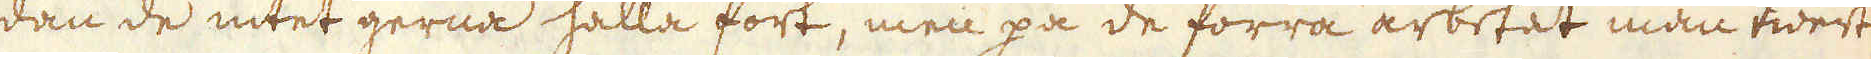dan de intet gerna hålla fort, men på de förra arbetet man twert
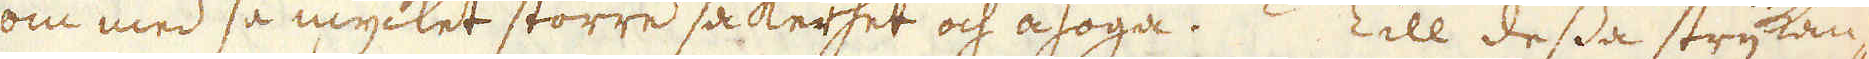om med så mycket större säkerhet och åhoga. Till dessa strykan-
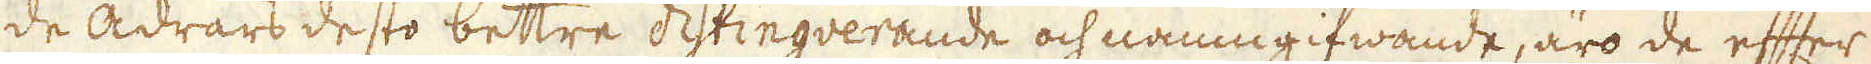de ådrars desto bettre distingverande och namngifwande, äro de efter
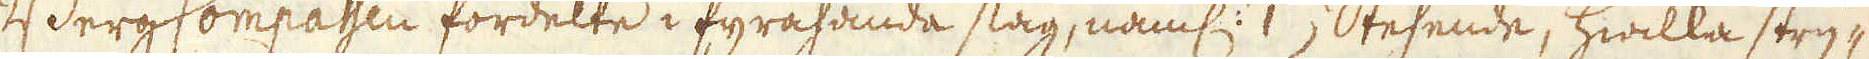BergCompassen fördelte i fyrahanda slag, näml: (1) Stehende, hwilka stry-
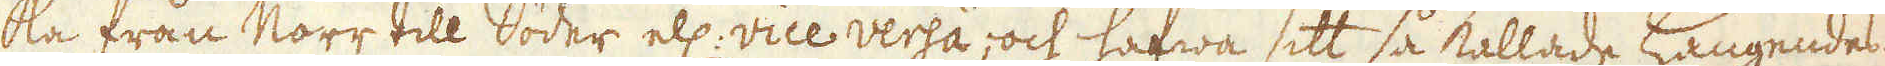ka från Norr till Söder ell: vice versa, och hafwa sitt så kallade Hangendes
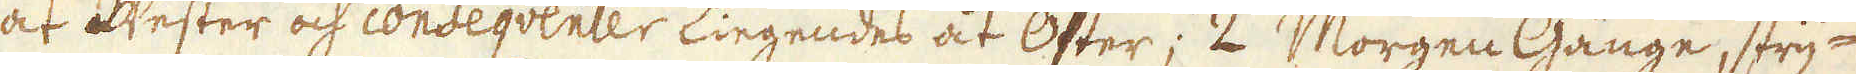åt Wester och conseqventer Liegendes åt Öster; 2) Morgen Gänge, stry-
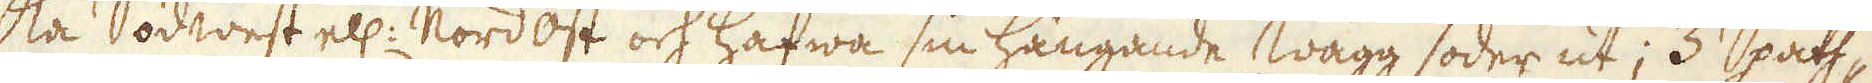ka Södwest ell: nordost och hafwa sin hängande wägg söder ut; 3) Spath-
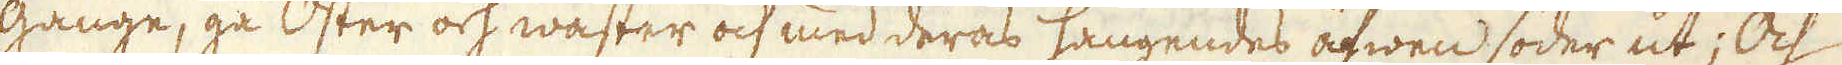gänge, gå Öster och wäster och med deras hangendes äfwen söder ut; Och
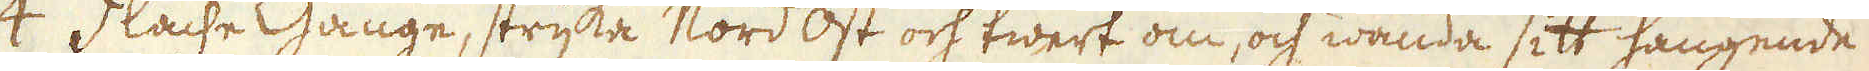4) Flache Gänge, stryka Nord ost och twert om, och wända sitt hangende
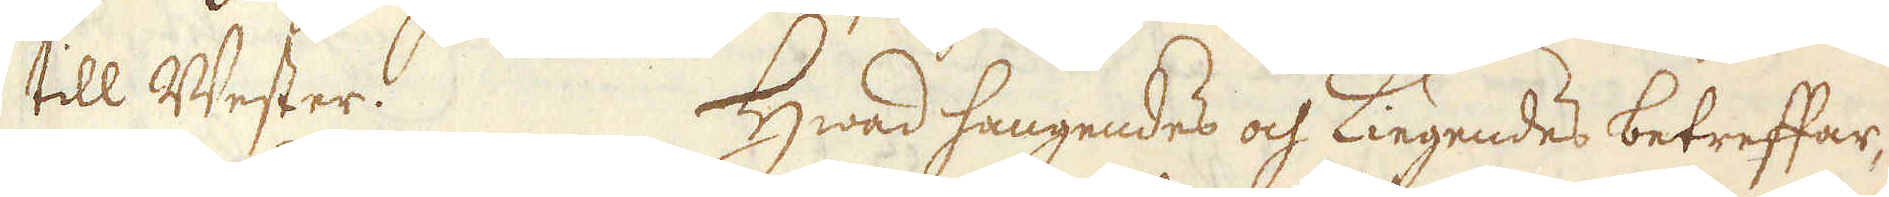till Wester. Hwad hangendes och Liegendes betreffar,
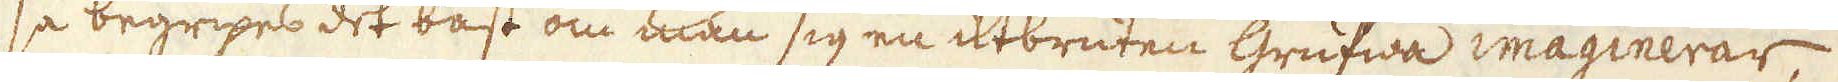så begripas det bäst om man sig en utbruten grufwa imaginerar,
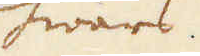hwars
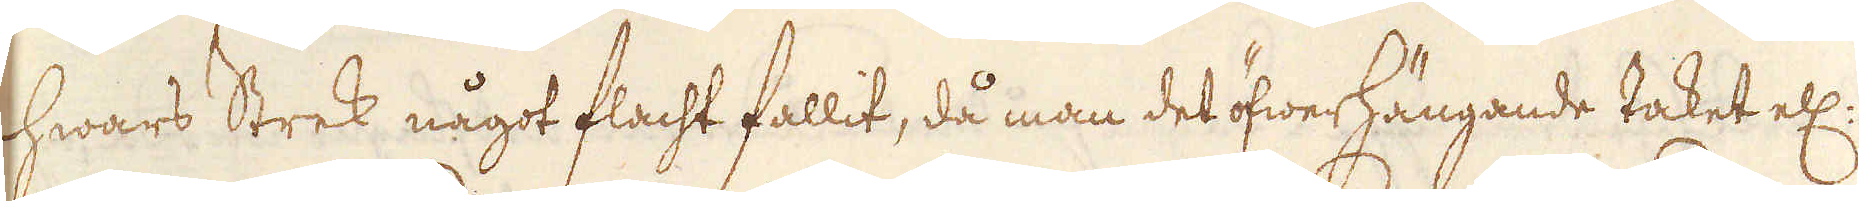hwars Strek något flacht fallit, då man det öfwerhängande taket ell:
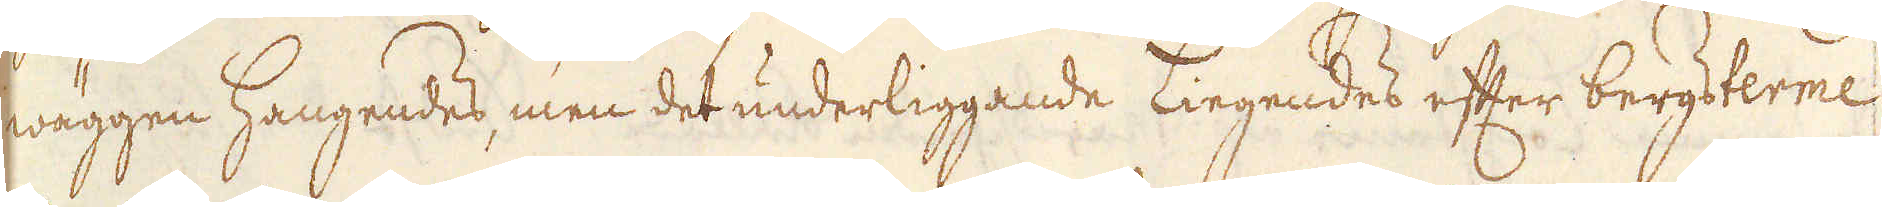wäggen Hangendes, men det underliggande Liegendes efter bergsterme
